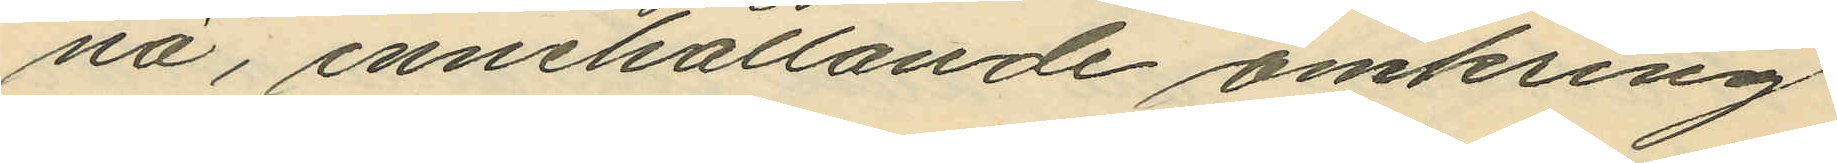nä, innehållande omkring
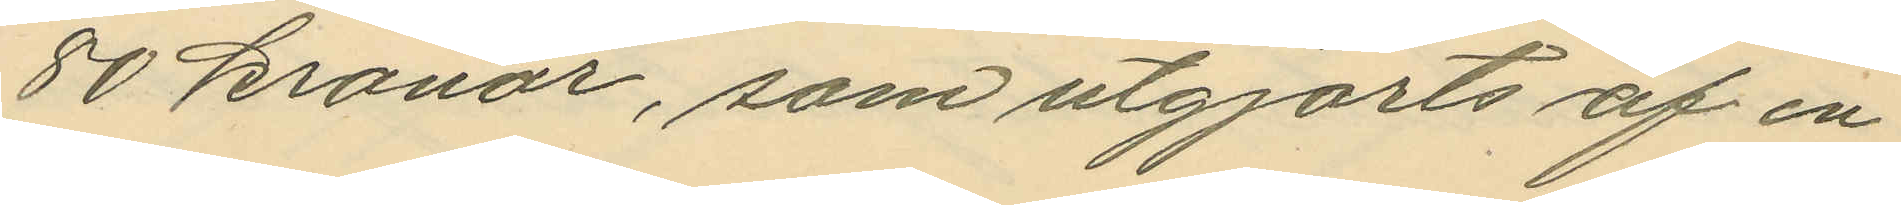80 kronor, som utgjorts af en
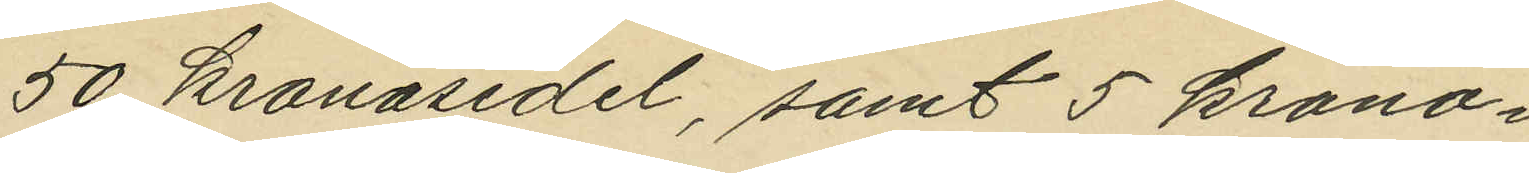50 kronosedel, samt 5 krono¬
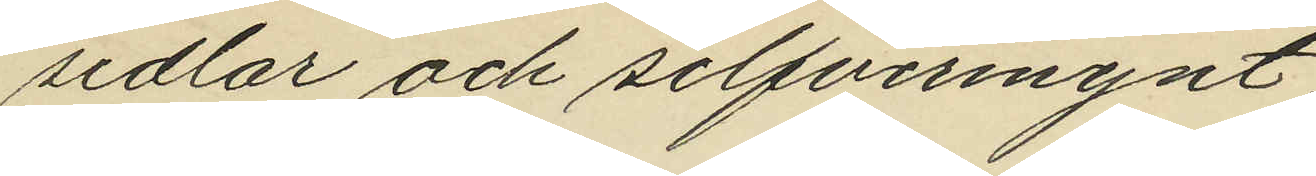sedlar och silfvermynt;
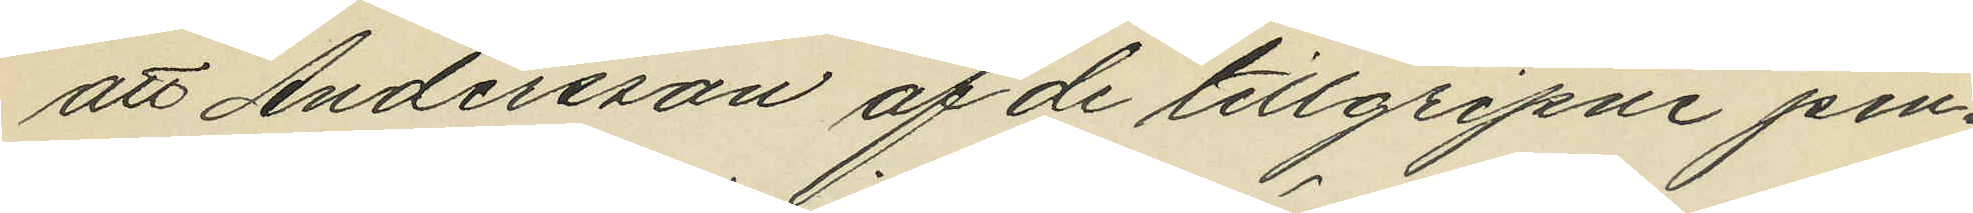att Andersson af de tillgripne pen¬
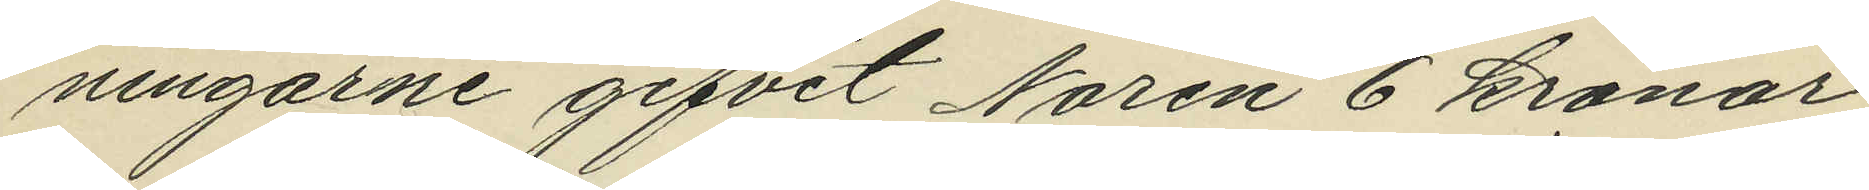ningarne gifvit Norén 6 kronor
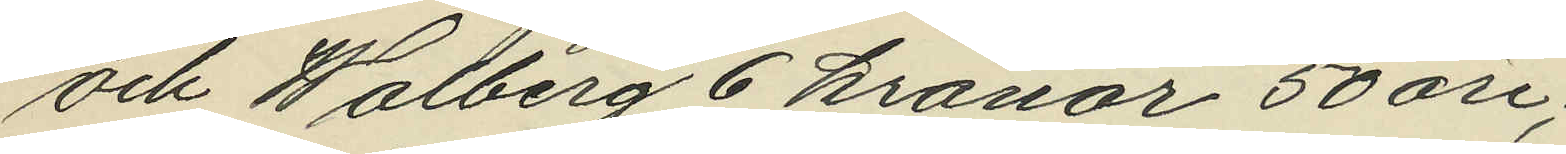och Walberg 6 kronor 50 öre;
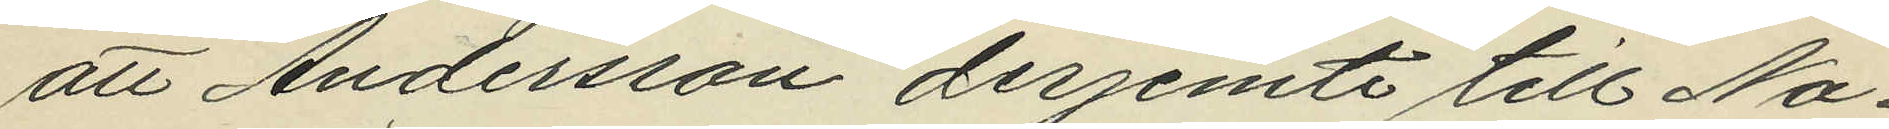att Andersson derjemte till No¬
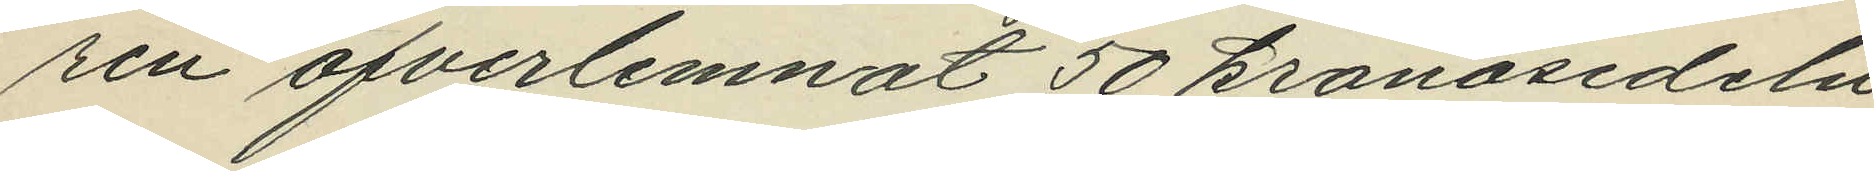ren öfverlemnat 50 kronosedeln
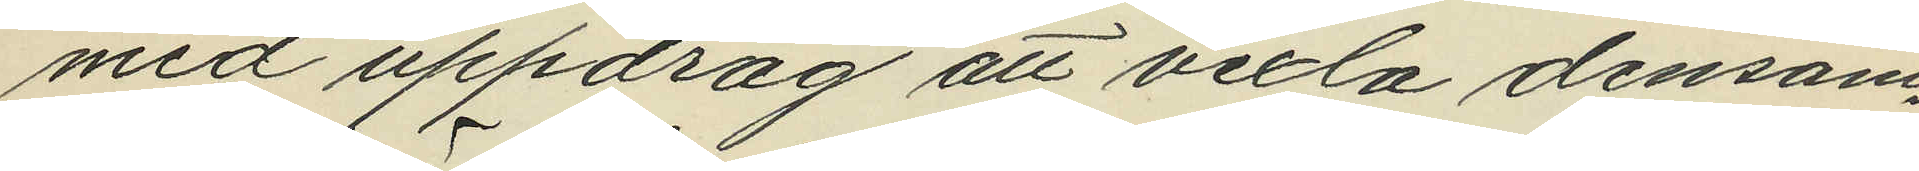med uppdrag att vexla densam¬
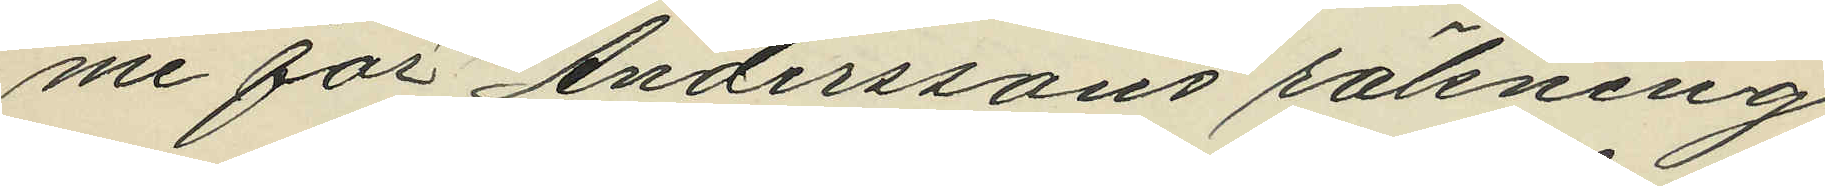me för Anderssons räkning
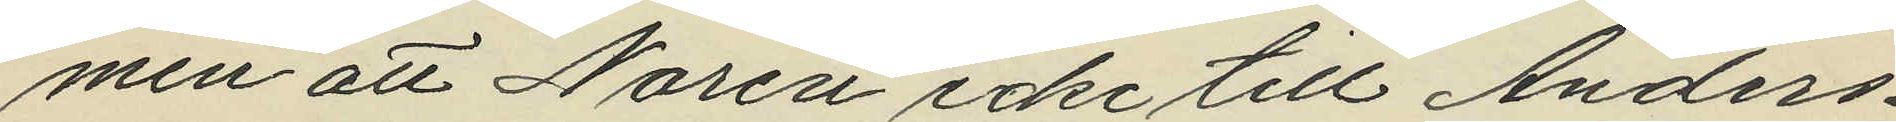men att Norén icke till Anders¬
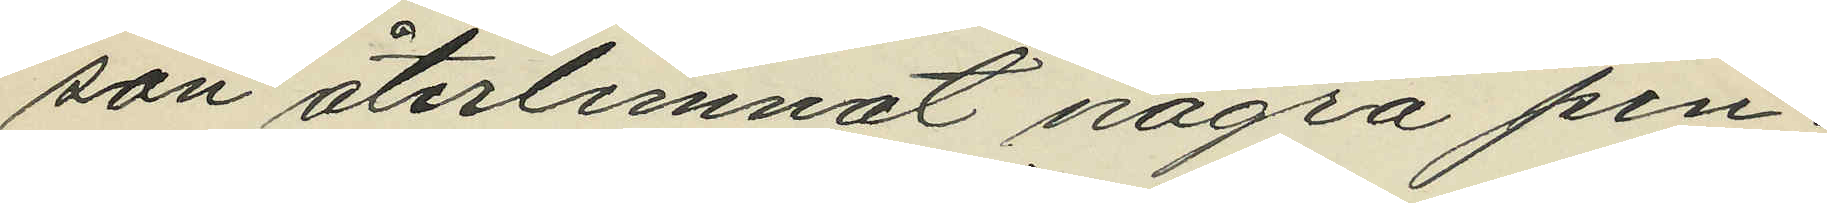son återlemnat några pen¬
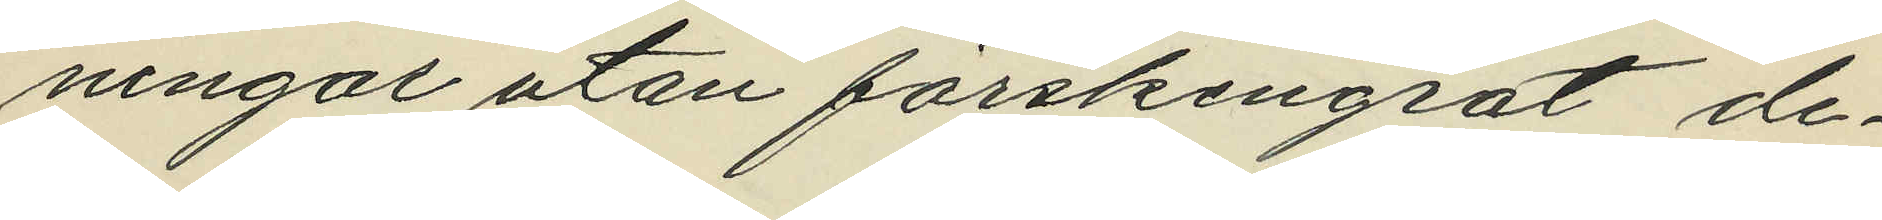ningar utan förskingrat de¬
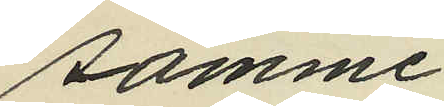samme.
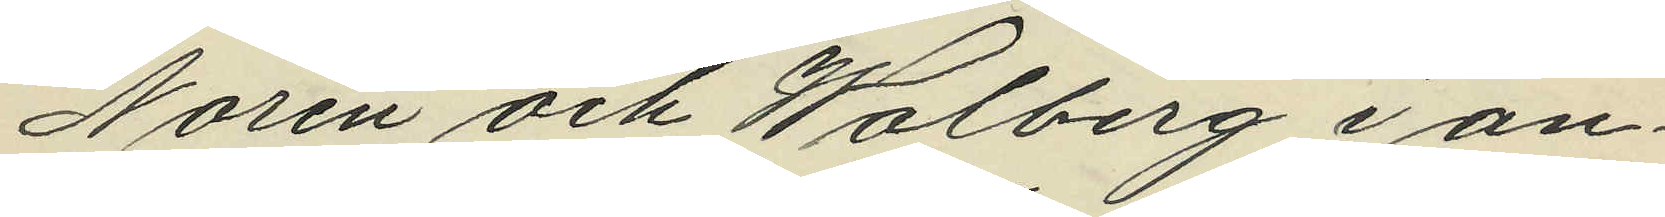Norén och Walberg i an¬
